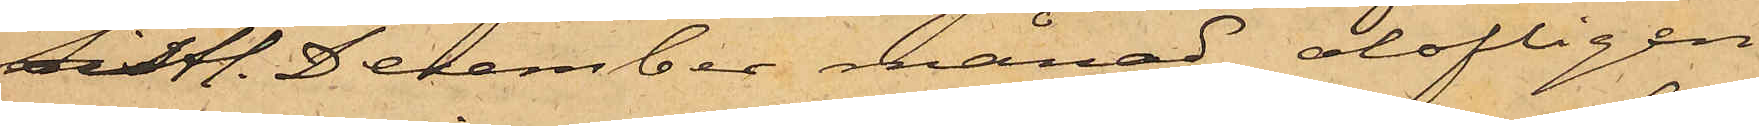sistl. December månad, olofligen
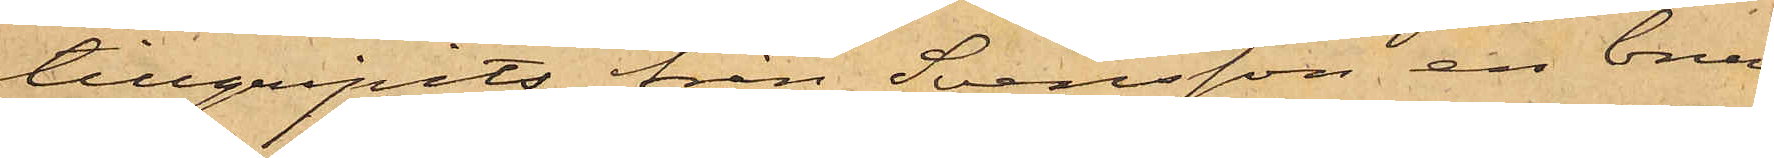tillgripits från Svensson en brun
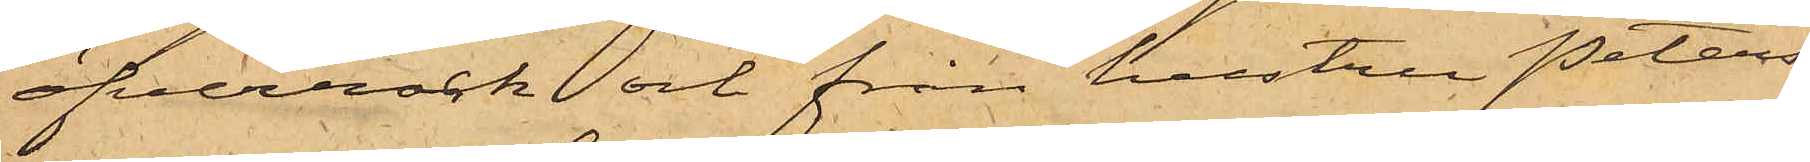öfverrock och från hustru Peters¬
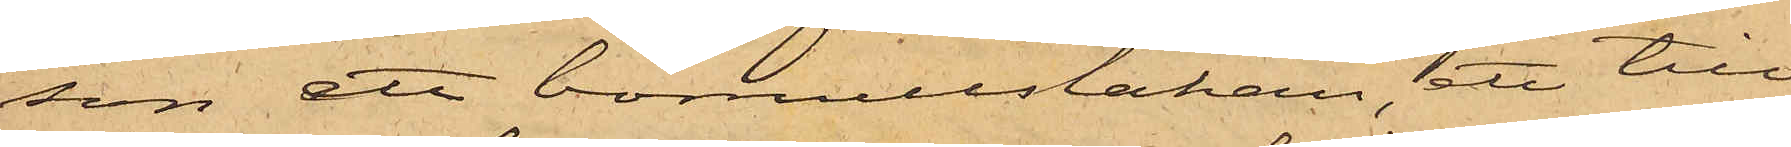son ett bomullslakan, ett till¬
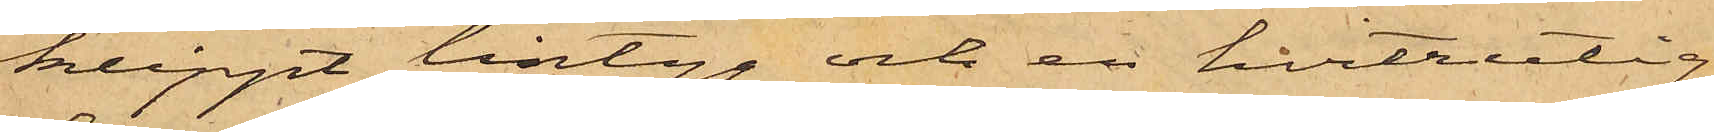klippt lintyg och en hvitrutig
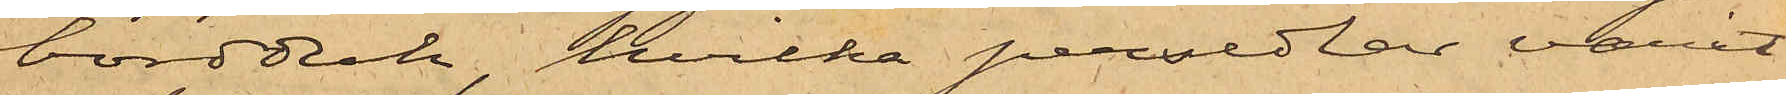bordduk, hvilka persedlar varit
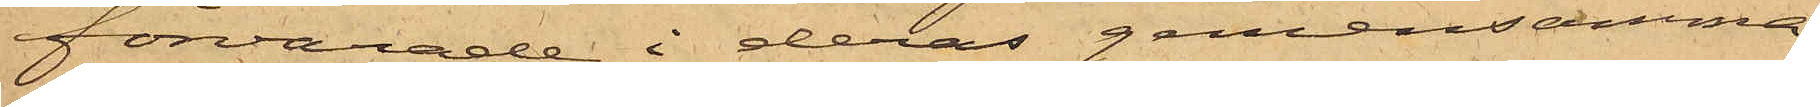förvarade i deras gemensamma
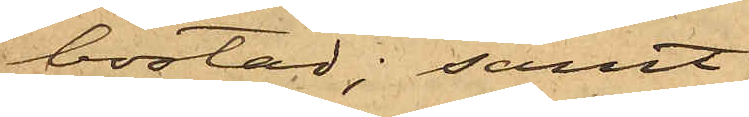bostad; samt
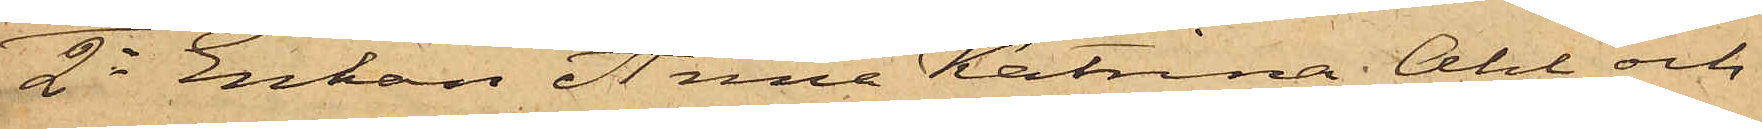2o Enkan Anna Katrina Ahl och
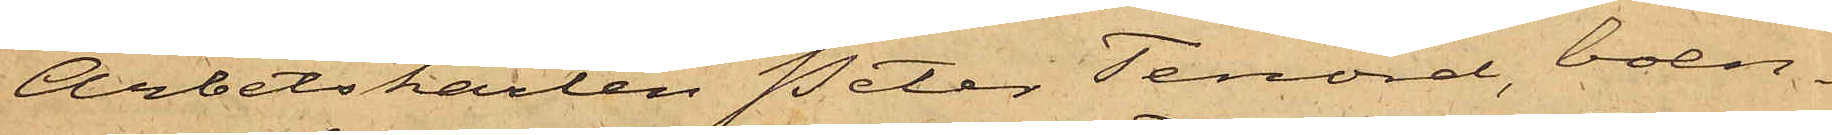Arbetskarlen Peter Tenord, boen¬
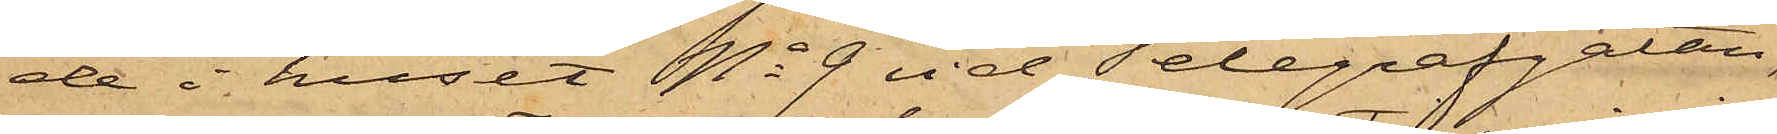de i huset No 9 vid Telegrafgatan,
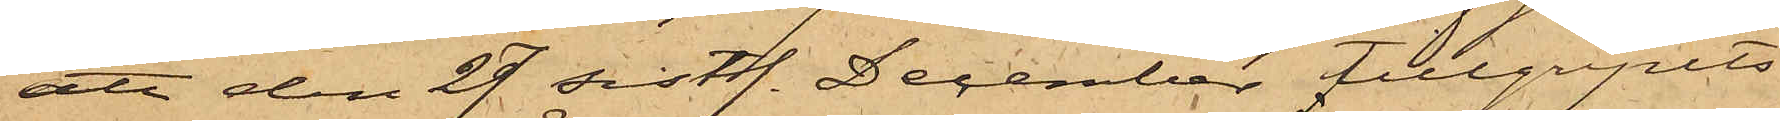att den 29 sistl. December tillgripits
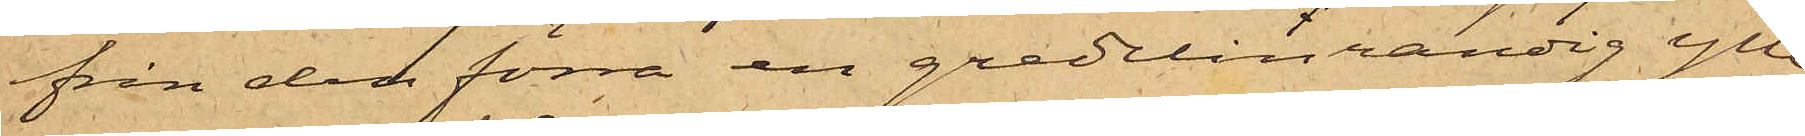ifrån den förra en gredelinrandig ylle¬
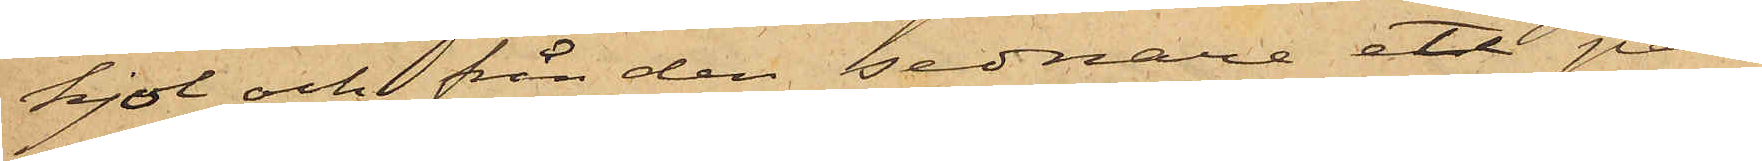kjol och från den sednare ett par
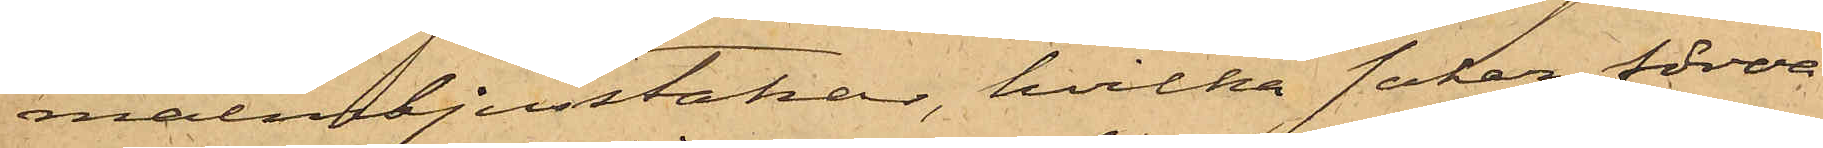malmljusstakar, hvilka saker förva¬
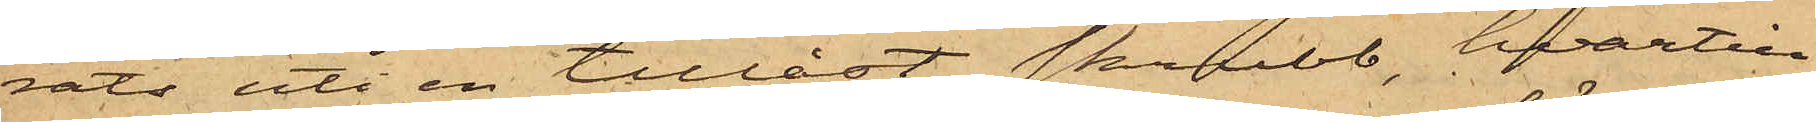rats uti en tillåst skrubb, hvartill
